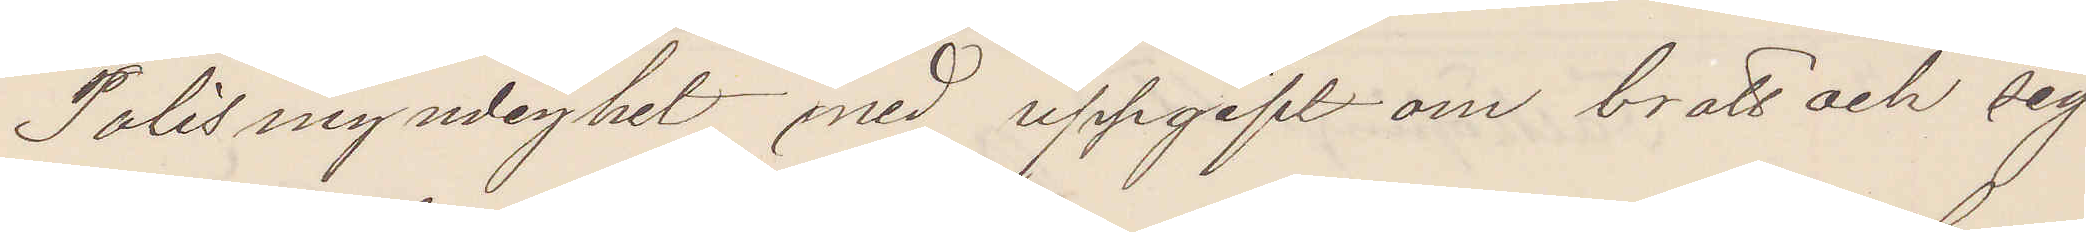Polismyndighet med uppgift om brott och sig¬
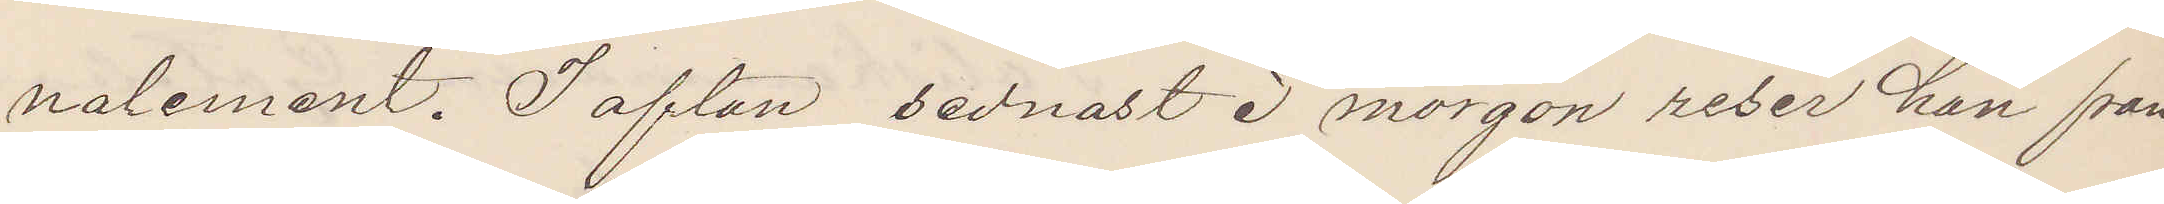nalement. I afton sednast i morgon reser han från
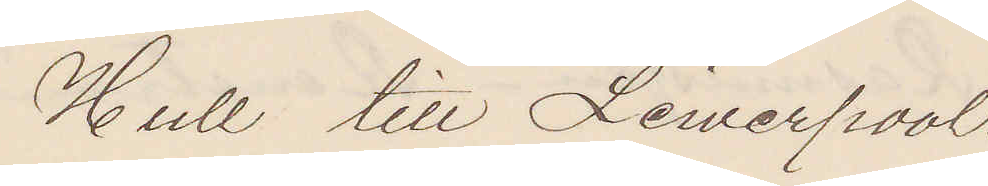Hull till Liwerpool.
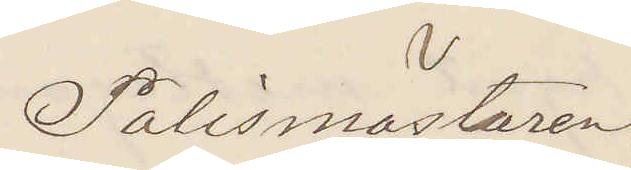Polismästaren.
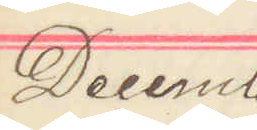Decemb
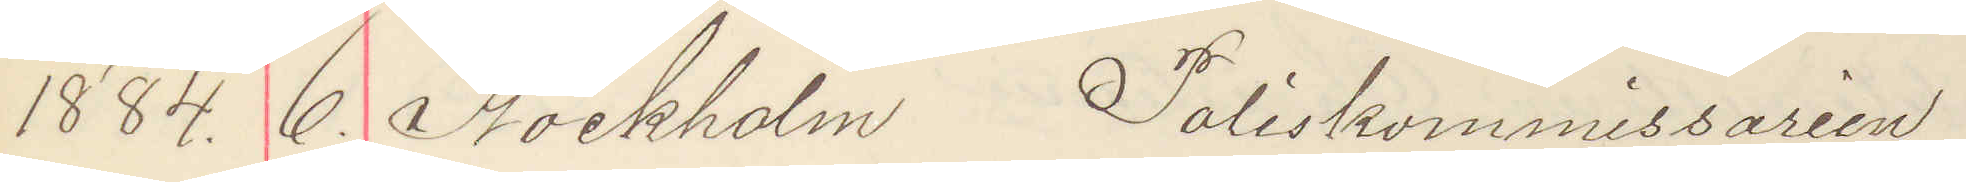1884. 6. Stockholm Poliskommissarien
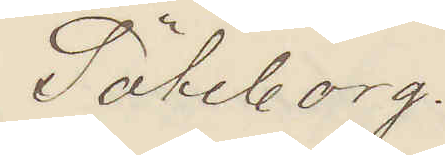Göteborg.
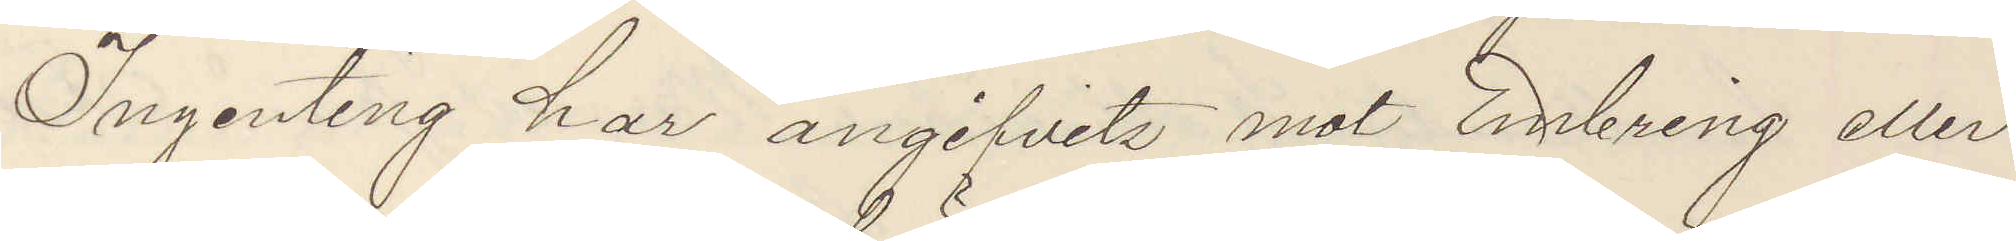Ingenting har angifvits mot Enbring eller
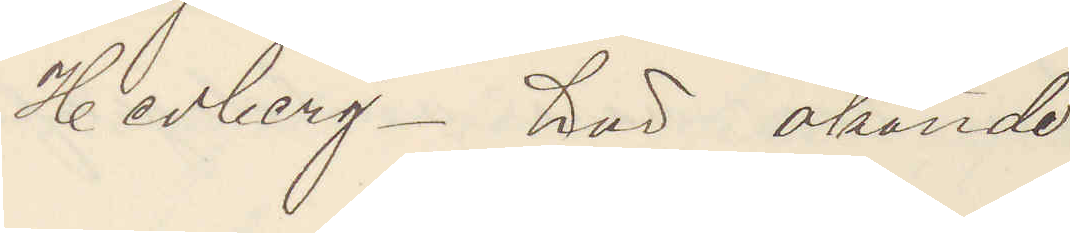Hedberg. här okände
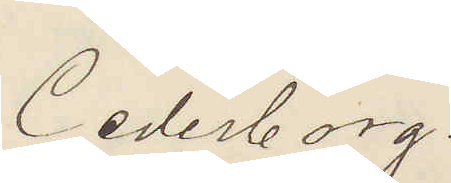Cederborg.
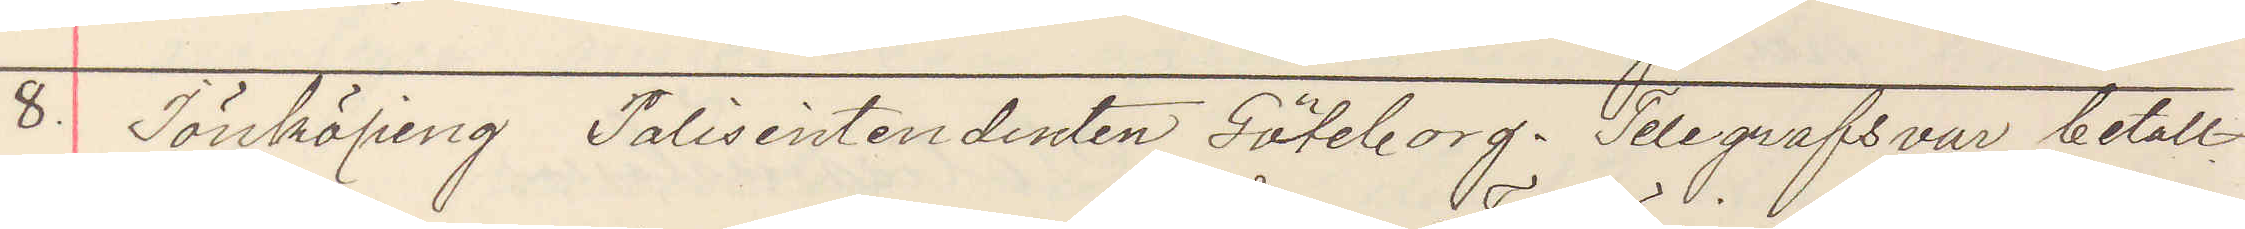8. Jönköping Polisintendenten Göteborg. Telegrafsvar betalt.
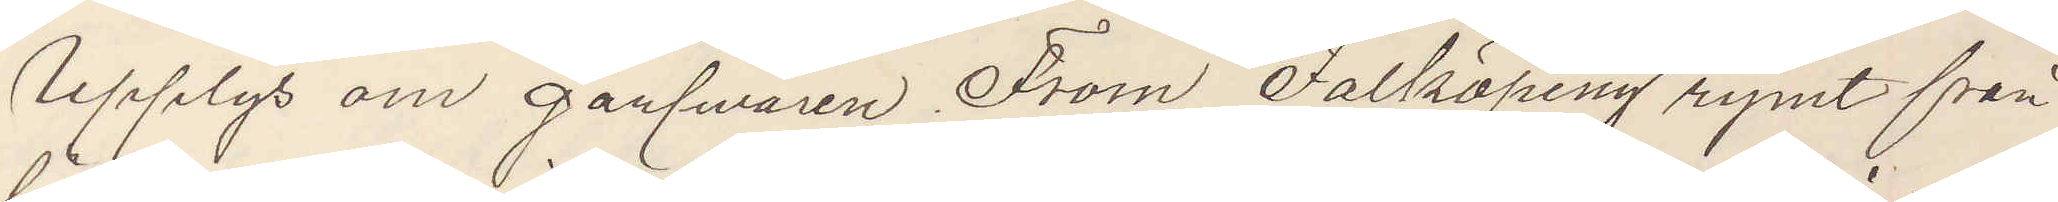Upplys om garfwaren From Falköping rymt från
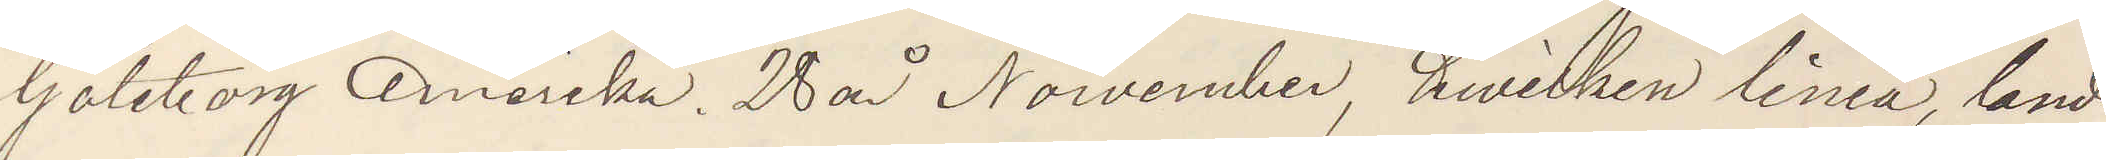Göteborg Amerika. 28 år Nowember, hvilken linie, land¬
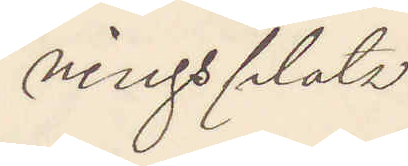ningsplats
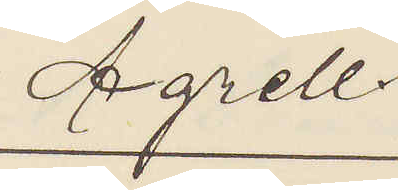Agrell.
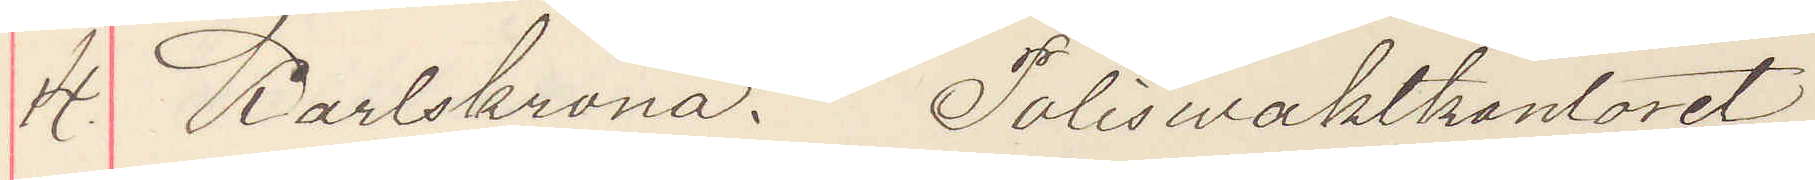14. Karlskrona. Poliswaktkontoret
